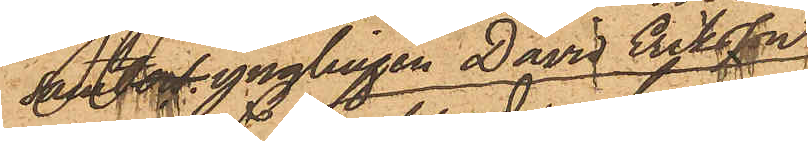samt ynglingen David Eriksson
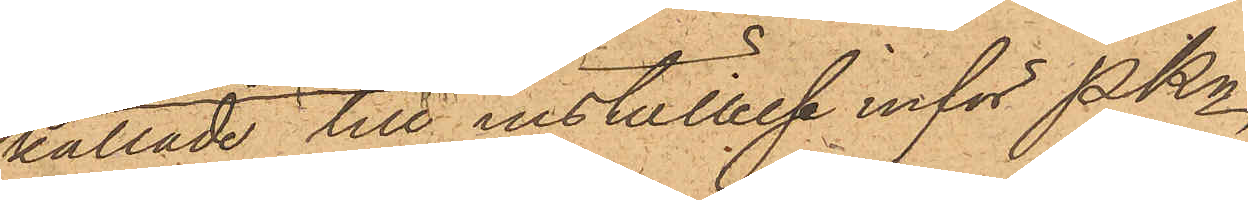kallade till inställelse inför PKn
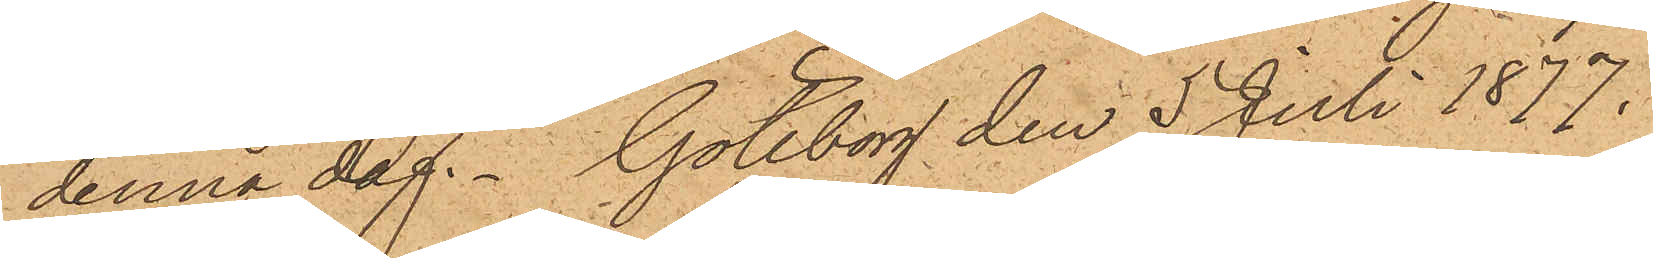denna dag. Göteborg den 5 Juli 1877.
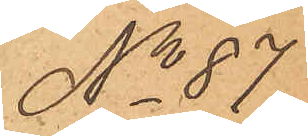No 87
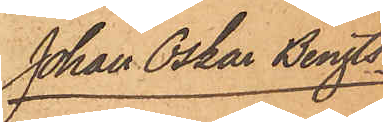Johan Oskar Bengts¬
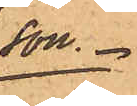son.
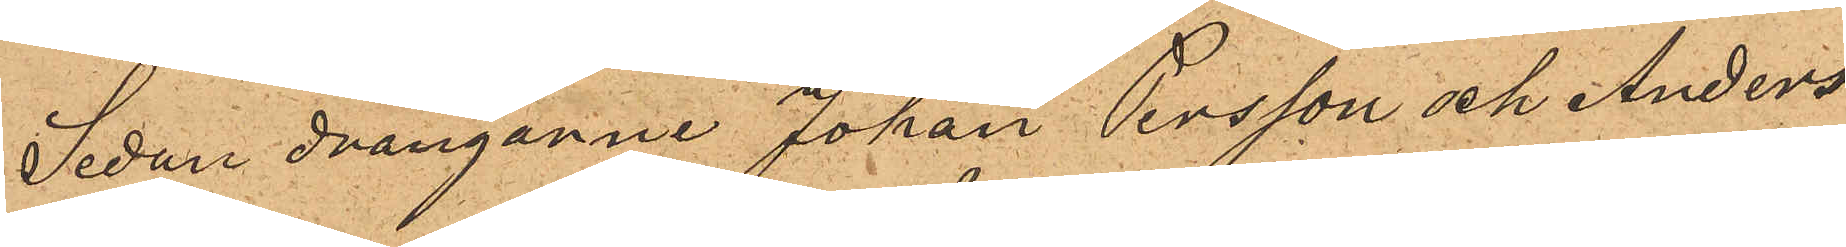Sedan drängarne Johan Persson och Anders
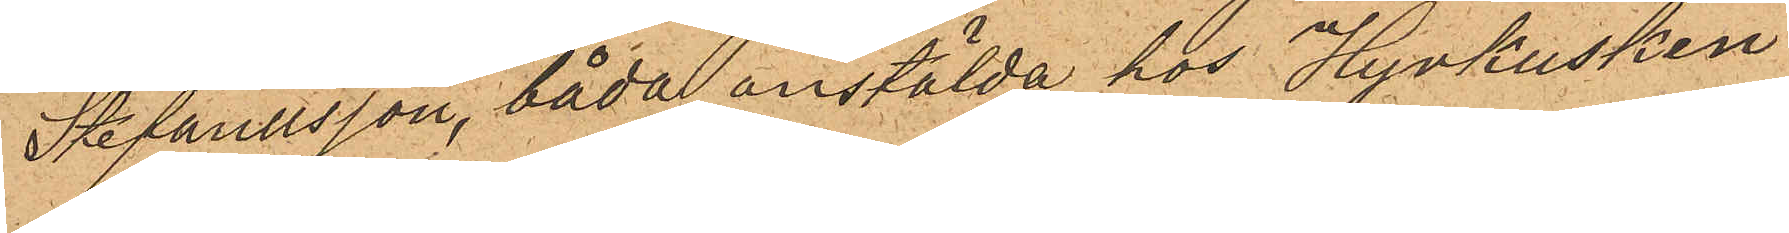Stefanusson, båda anstälda hos Hyrkusken
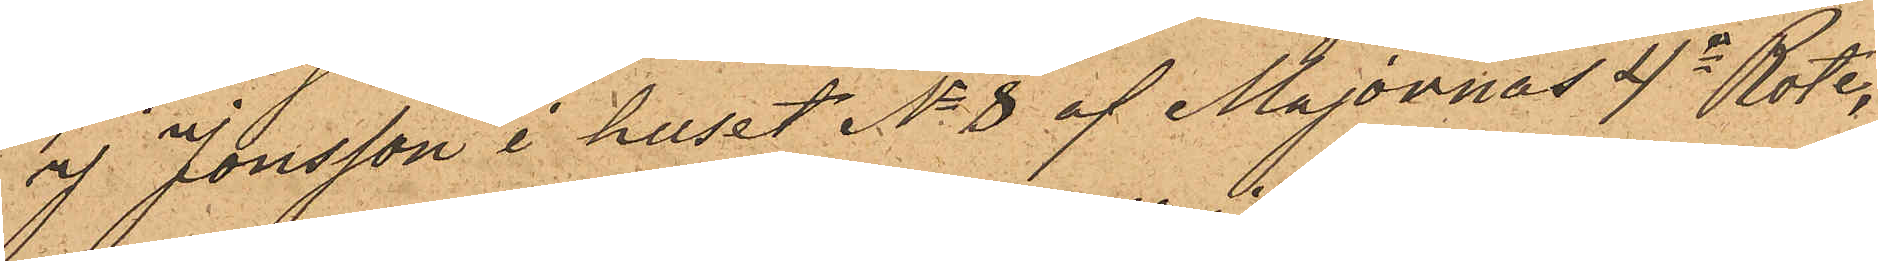af Jonsson i huset No 8 af Majornas 4de Rote,
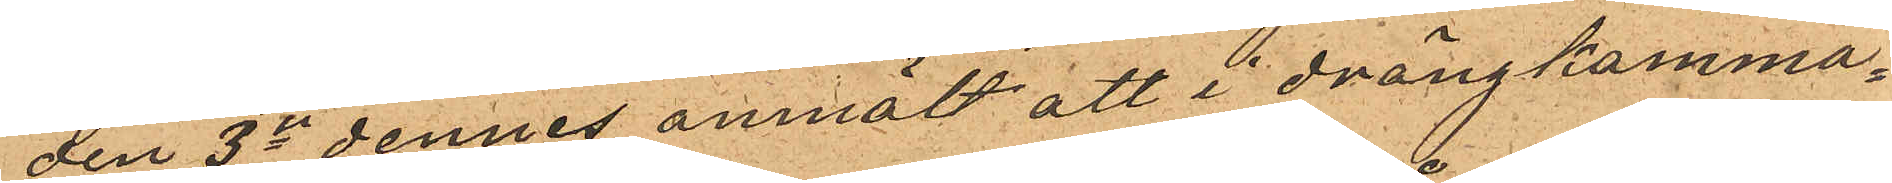den 3dje dennes anmält att i drängkamma¬
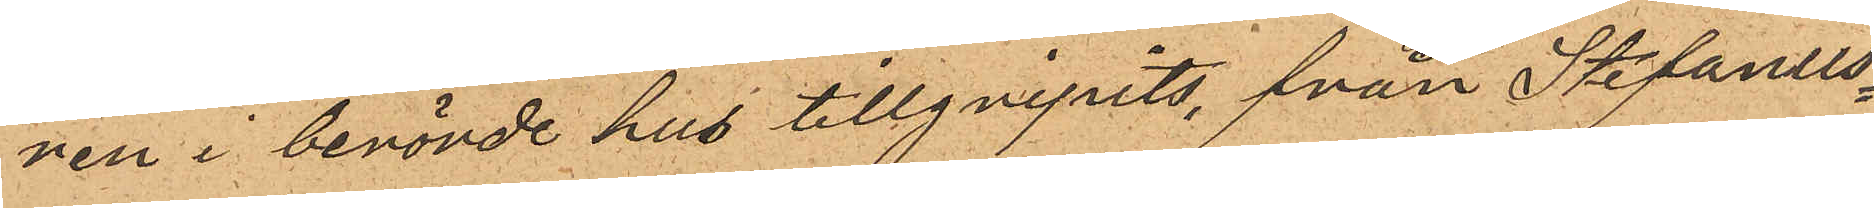nen i berörde hus tillgripits, från Stefanus¬
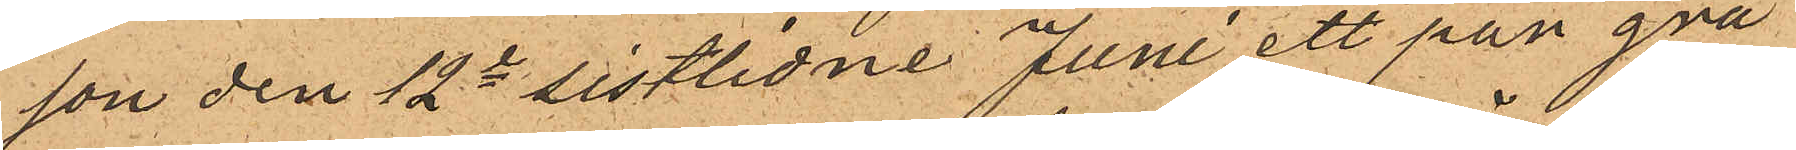son den 12te sistlidne Juni ett par grå
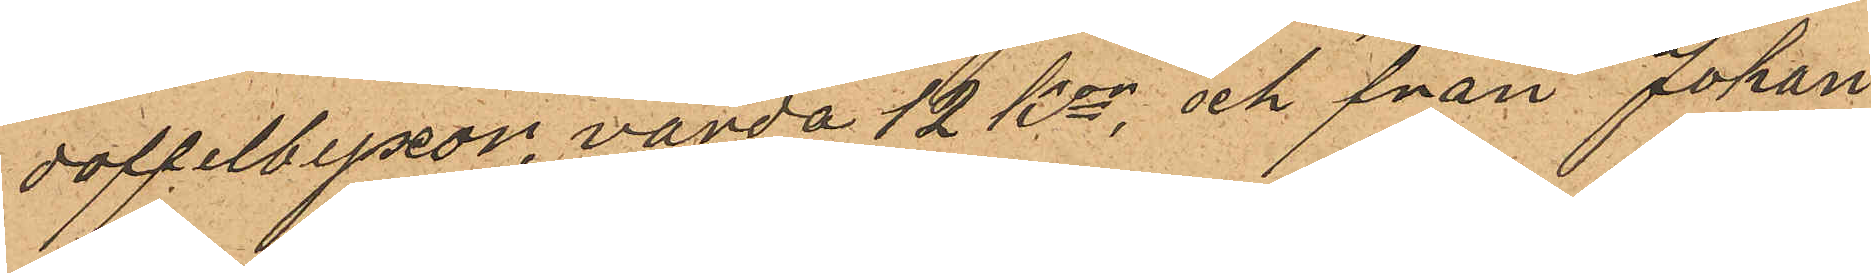doffelbyxor, värda 12 kr, och från Johan
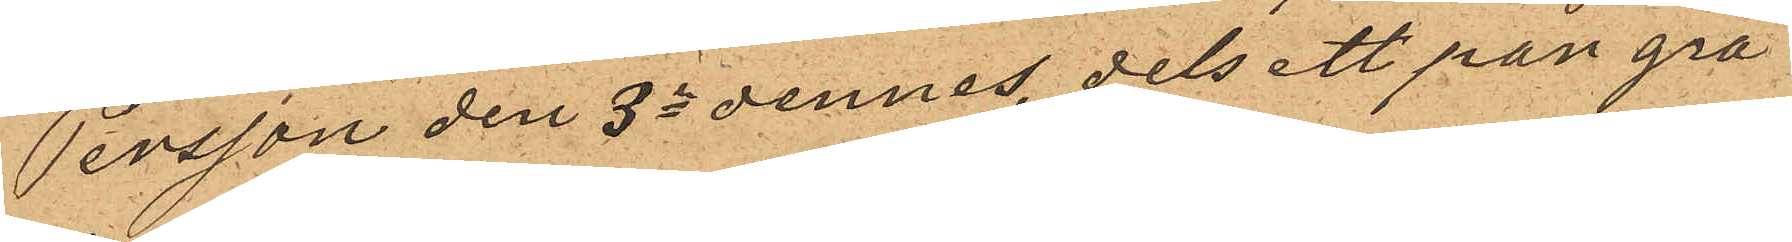Persson den 3dje dennes, dels ett par grå
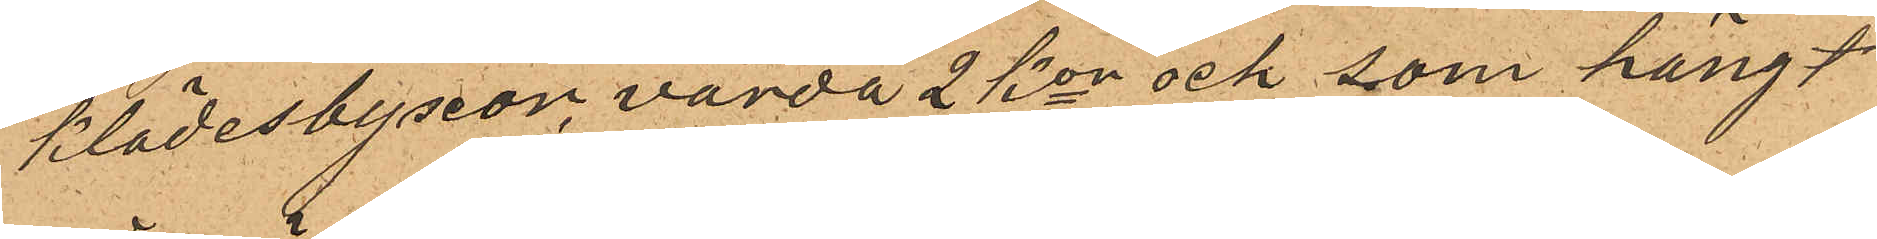klädesbyxor, värda 2 Kor och som hängt
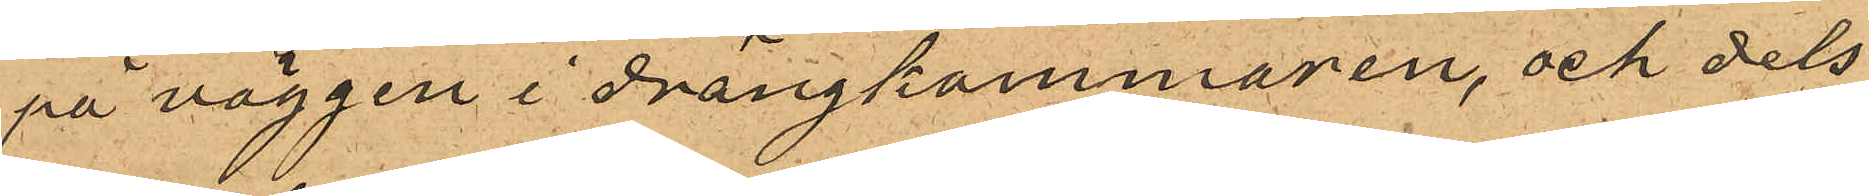på väggen i drängkammaren, och dels
